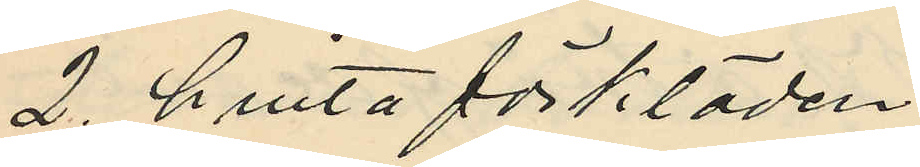2 hvita förkläden
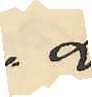2.
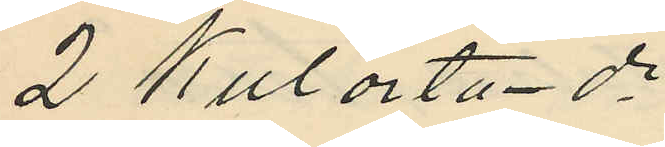2 Kulörta do
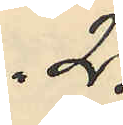2.
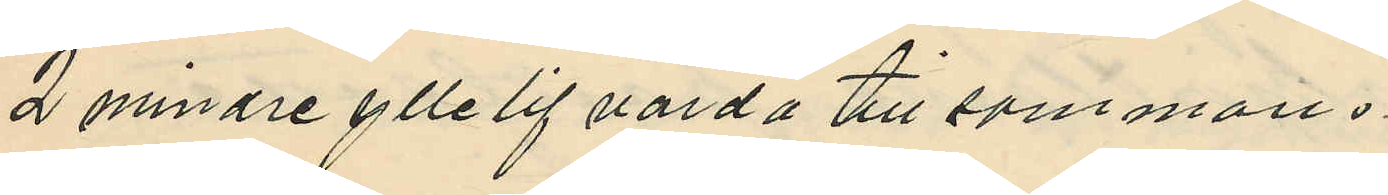2 mindre yllelif värda tillsammans
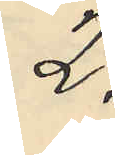2.
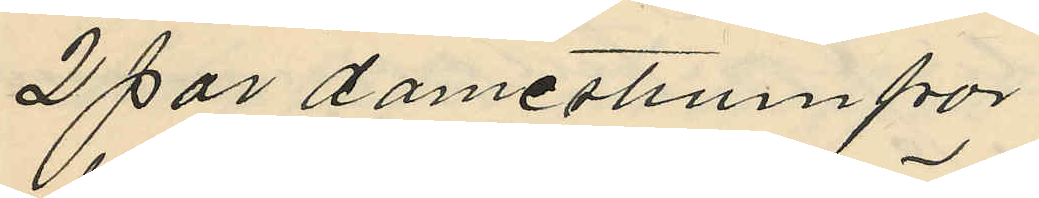2 par damestrumpor
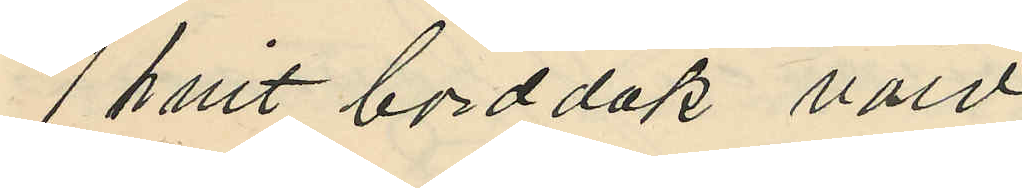1 hvit bordduk värd,
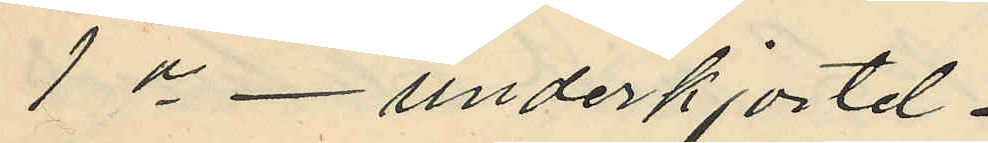1 do - underkjortel.
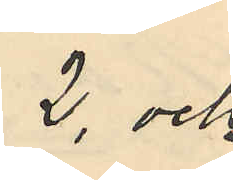2, och
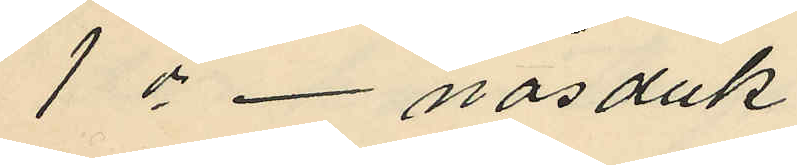1 do - näsduk
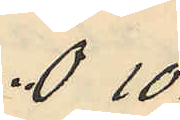0 10.
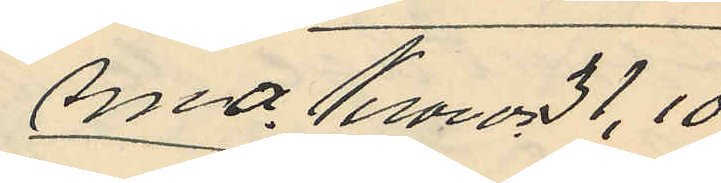sma. Kronor 31,10.
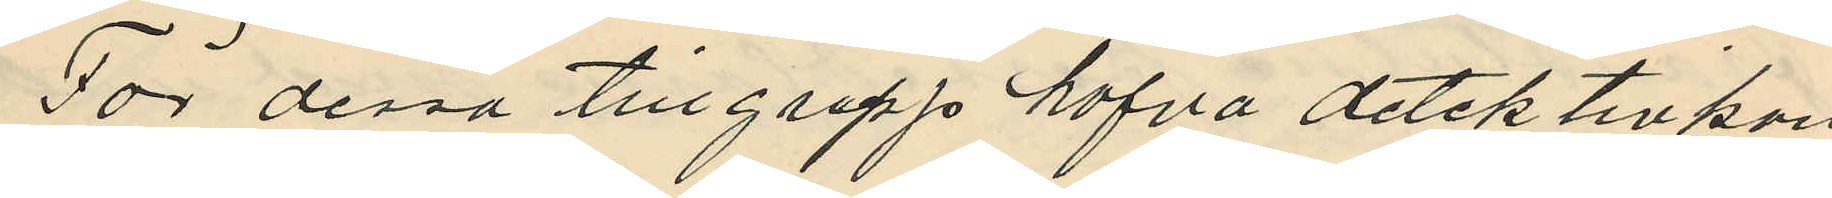För dessa tillgrepp hafva detektivkon
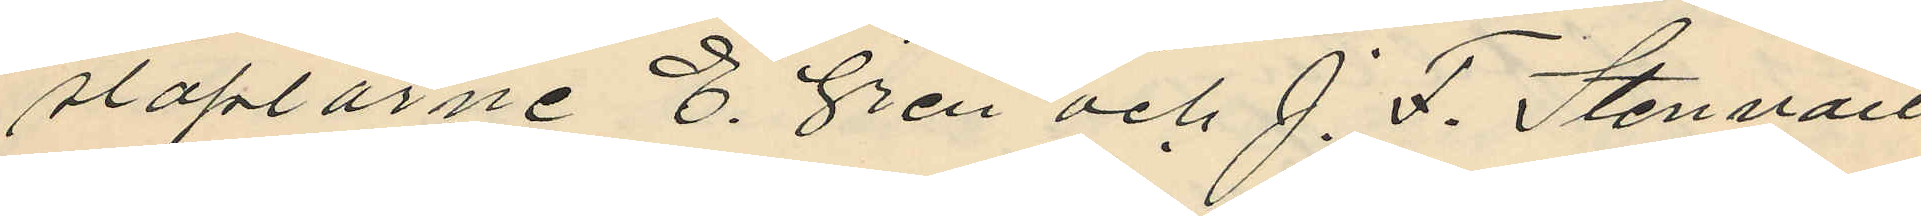staplarne E. Gren och J. F. Stenvall
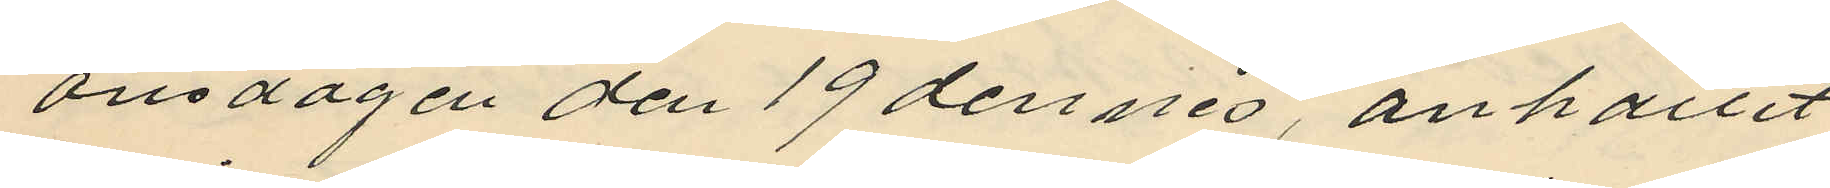onsdagen den 19 dennes, anhållit
